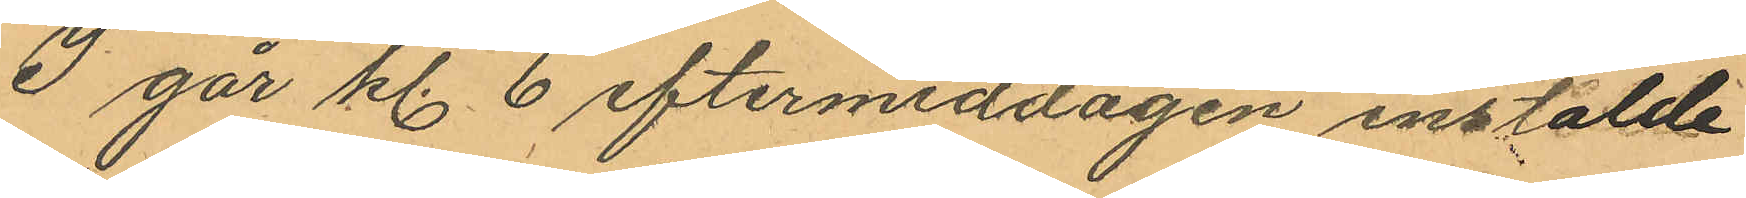I går kl. 6 eftermiddagen instälde
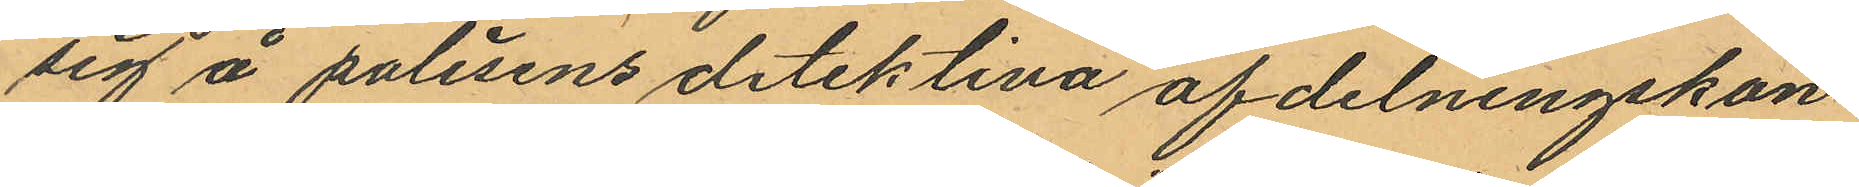sig å polisens detektiva afdelningskon¬
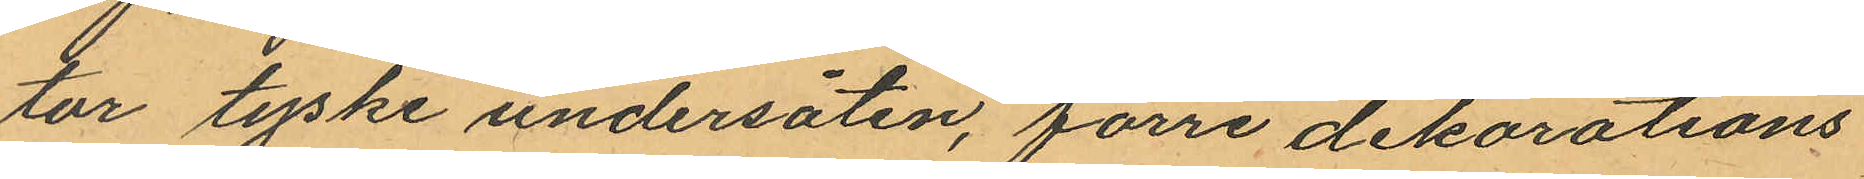tor tyske undersåten, förre dekorations
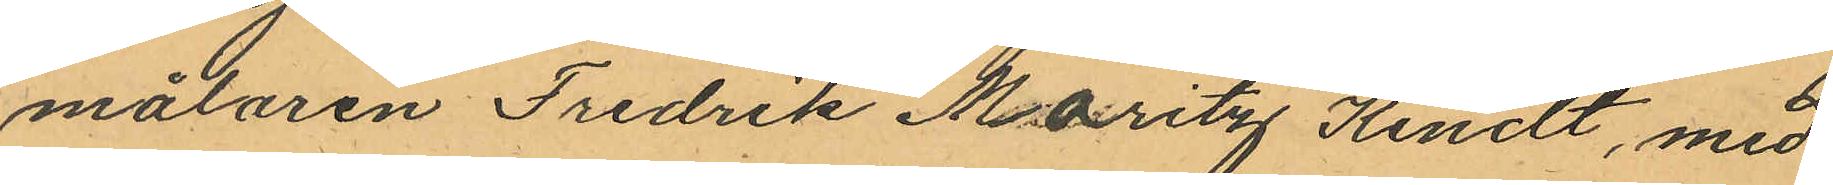målaren Fredrik Maritz Kindt, med
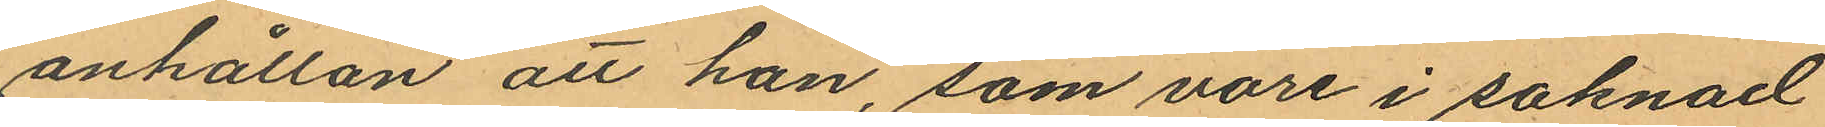anhållan att han, som vore i saknad
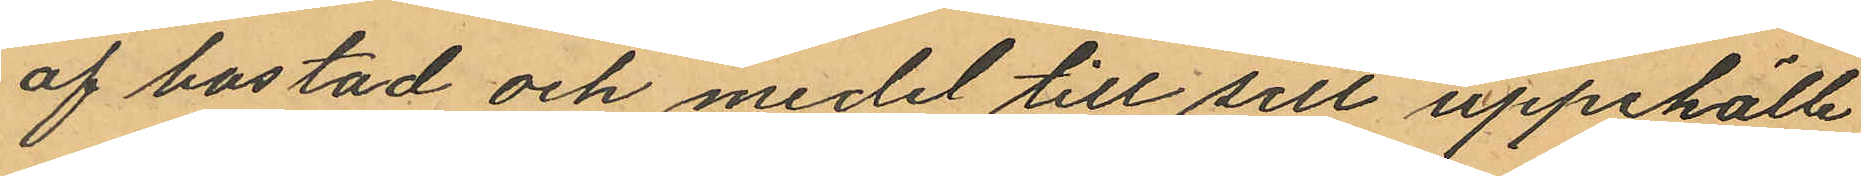af bostad och medel till sitt uppehälle
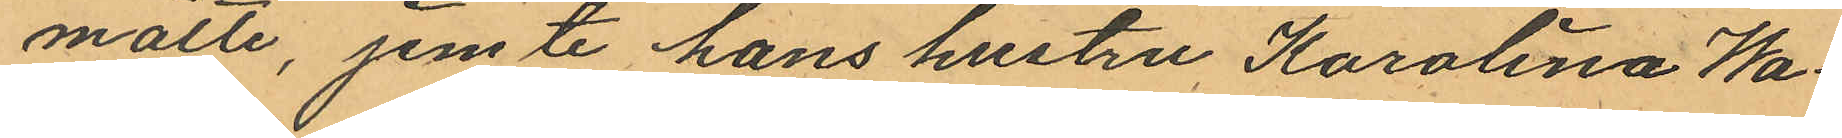måtte, jemte hans hustru Karolina Wa¬
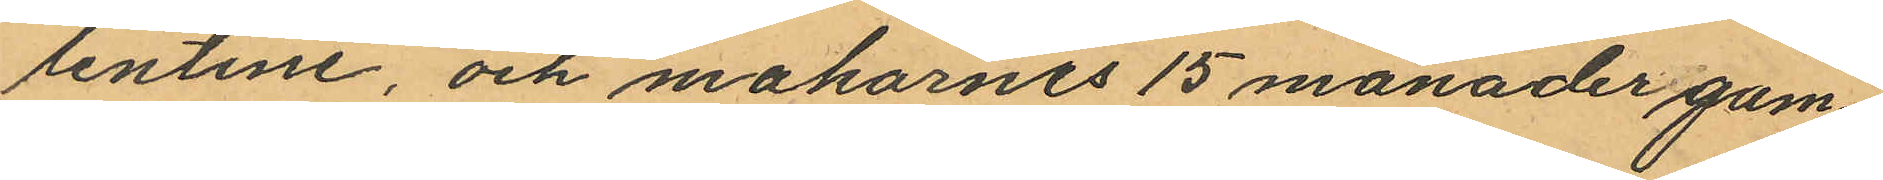lentine, och makarnes 15 månader gam¬
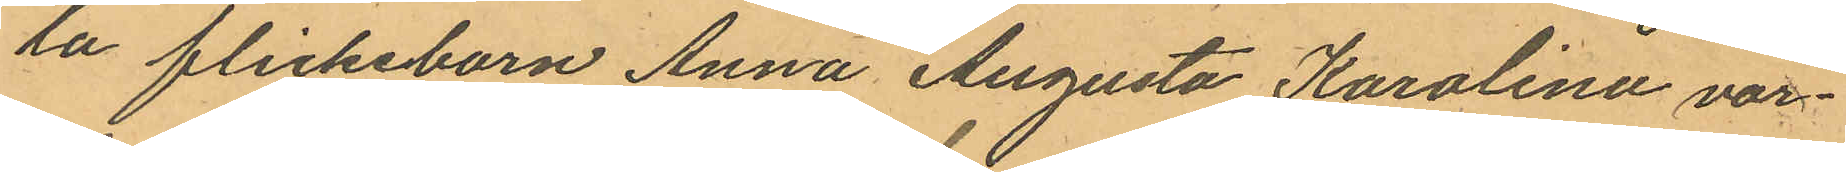la flickeborn Anna Augusta Karolina var¬
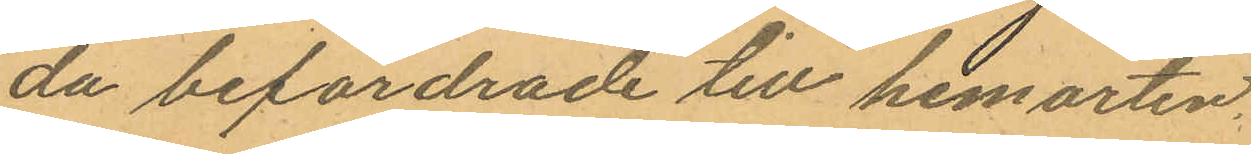da befordrade till hemorten.
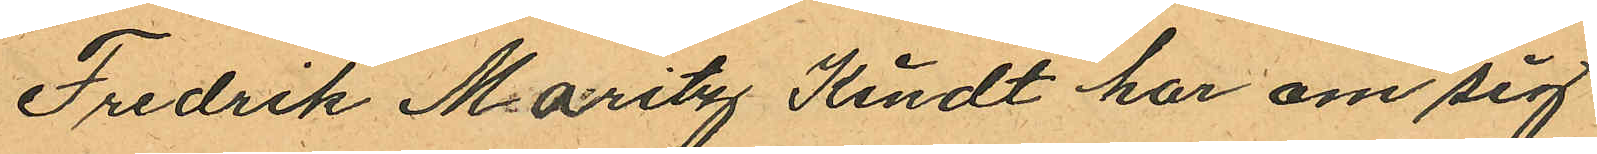Fredrik Maritz Kindt har om sig
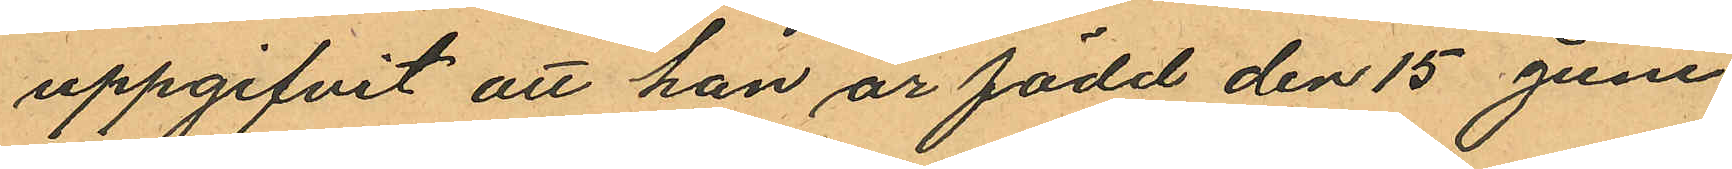uppgifvit att han är född den 15 Juni
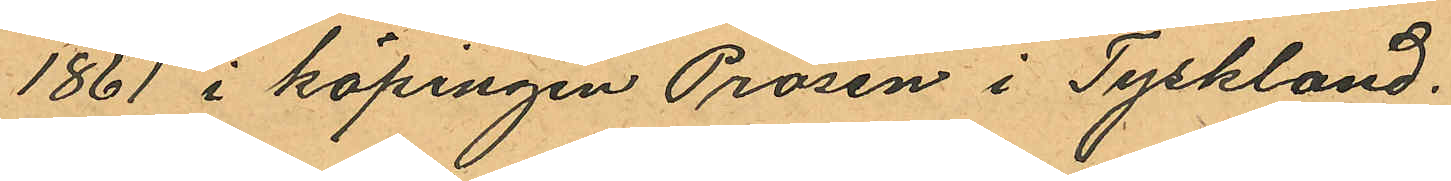1861 i köpingen Prösen i Tyskland;
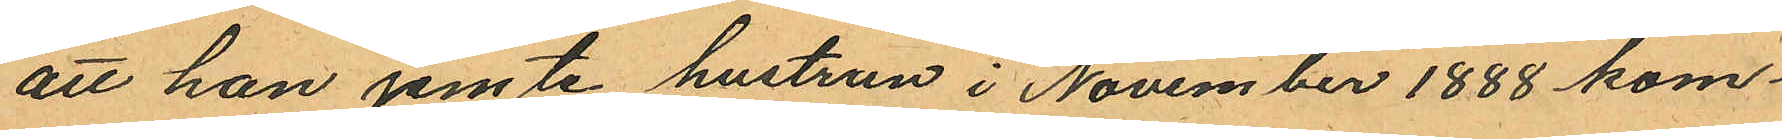att han jemte hustrun i November 1888 kom¬
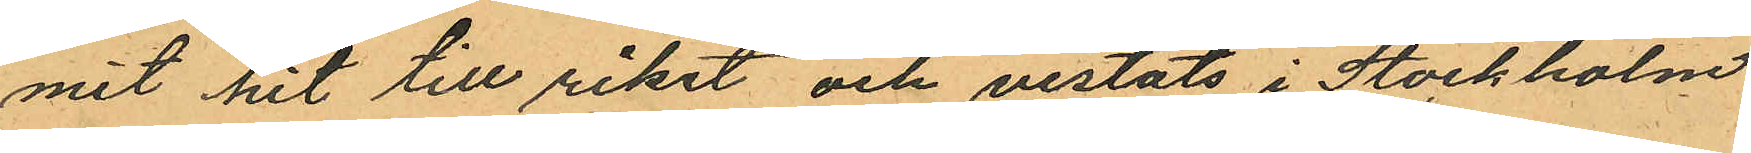mit hit till riket och vistats i Stockholm
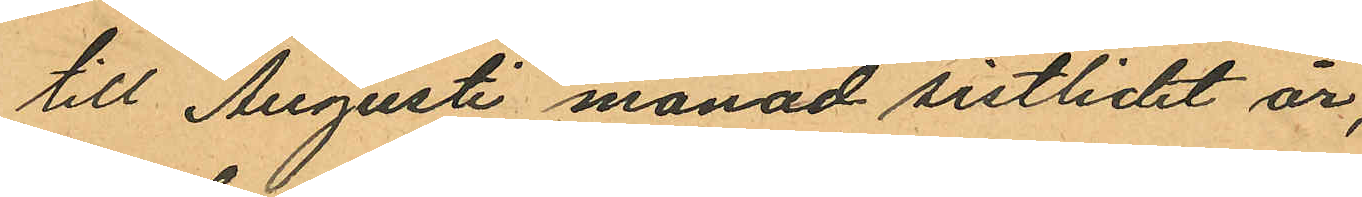till Augusti månad sistlidet år,
